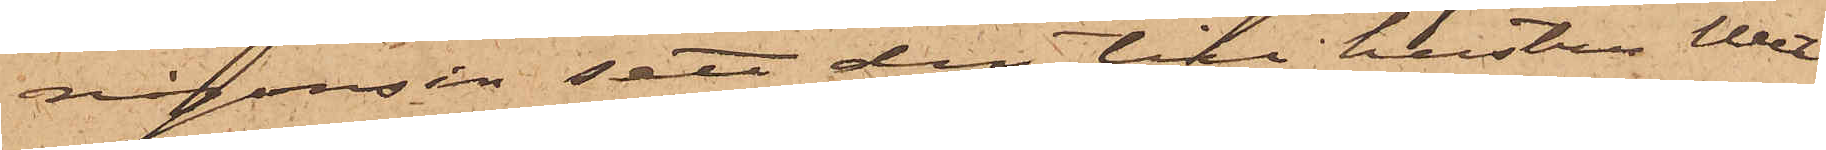någonsin sett den till hustru Wet¬
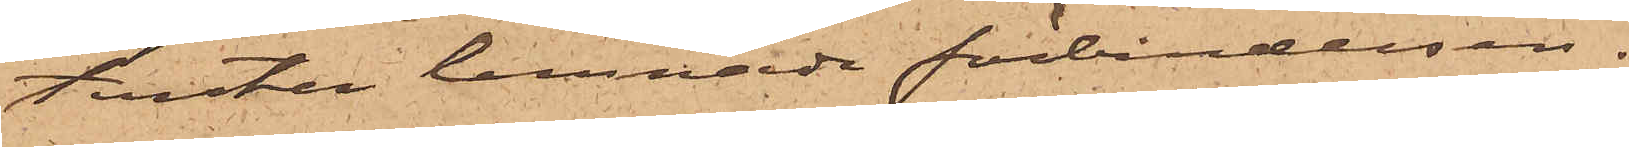tersten lemnade förbindelsen.
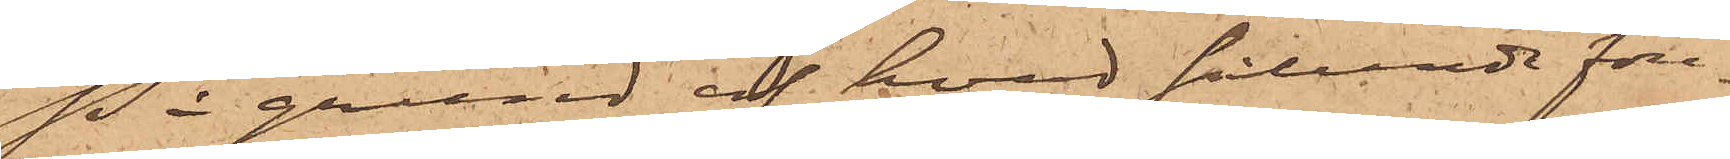På grund af hvad sålunda före¬
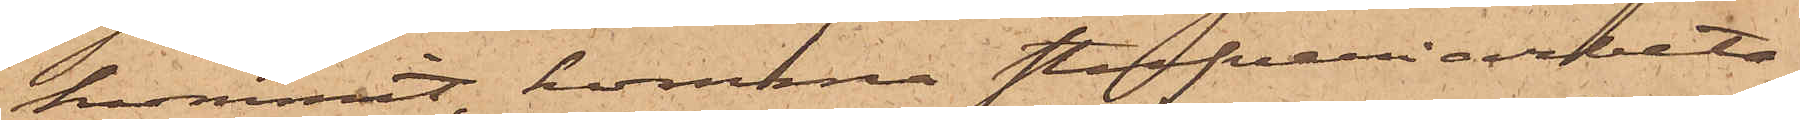kommit, komma Stufveriarbeta¬
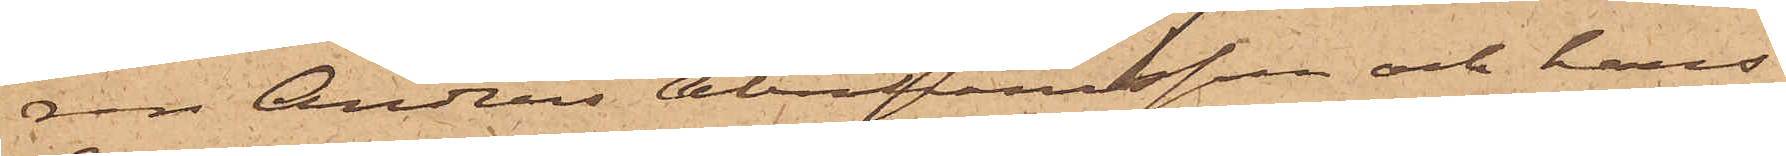ren Anders Abrahamsson och hans
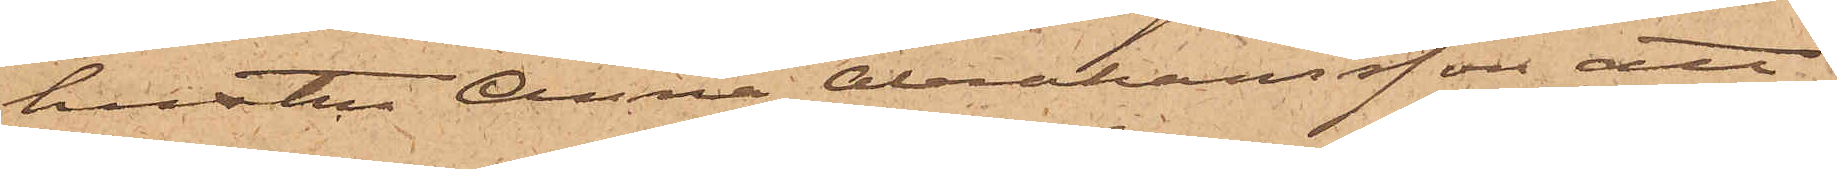hustru Anna Abrahamsson att
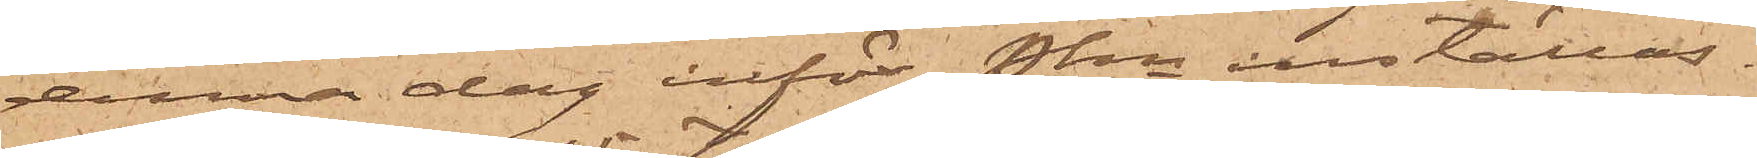denna dag inför Pkn inställas.
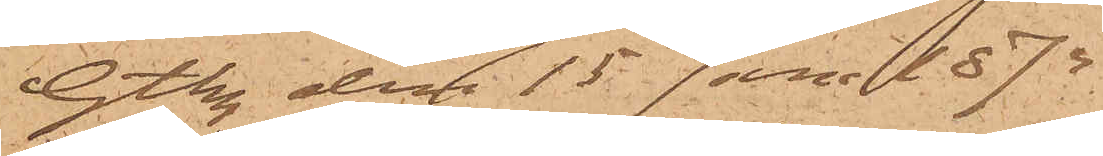Gtbg den 15 Jan. 1875.
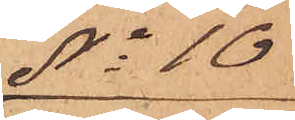No 10
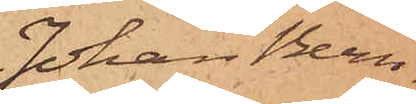Johan Bern¬
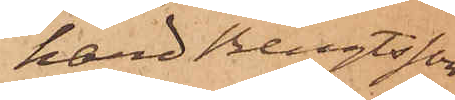hard Bengtsson
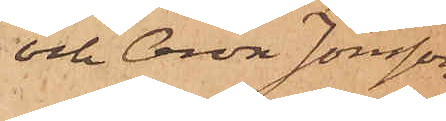och Aron Jonsson
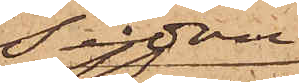Sedan
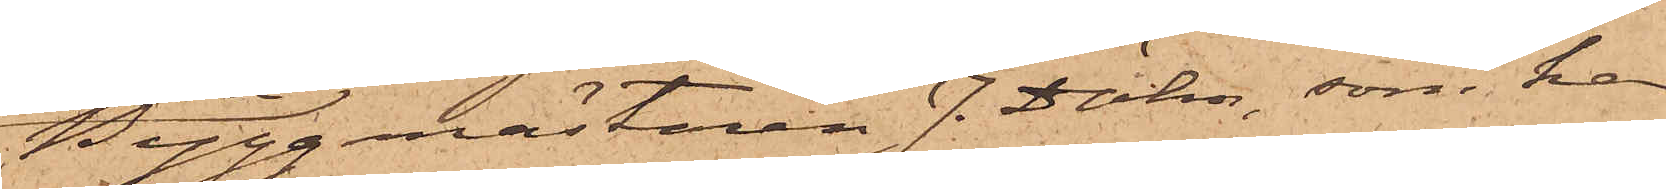Byggmästaren J. Dähn, som har
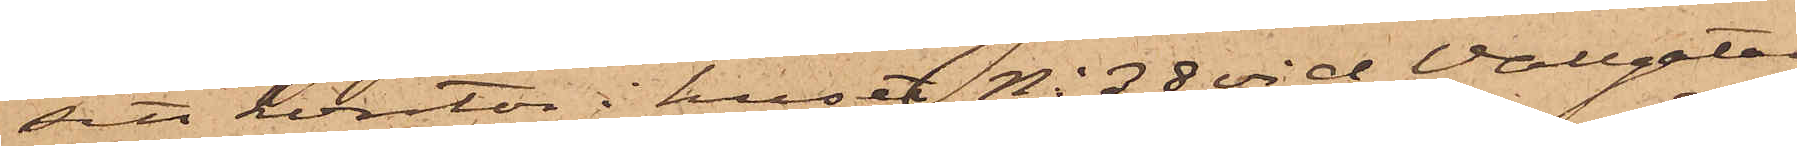sitt kontor i huset No 38 vid Vallgatan
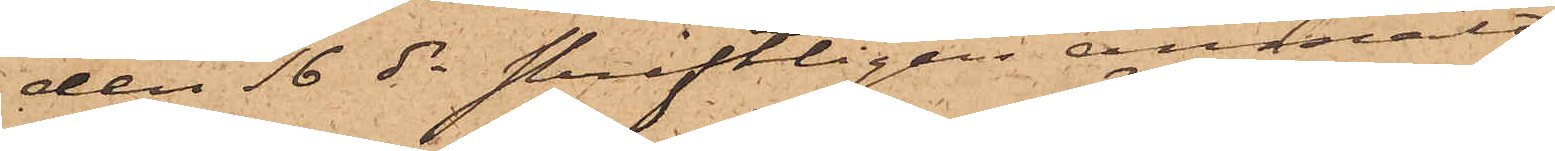den 16 ds skriftligen anmält
